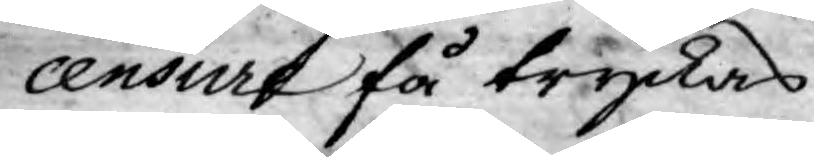censur få tryckas.
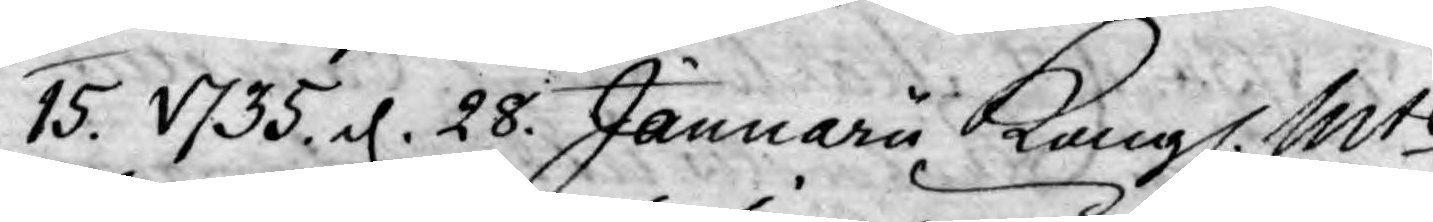15. 1735. d. 28 Januarii Kongl. Mts
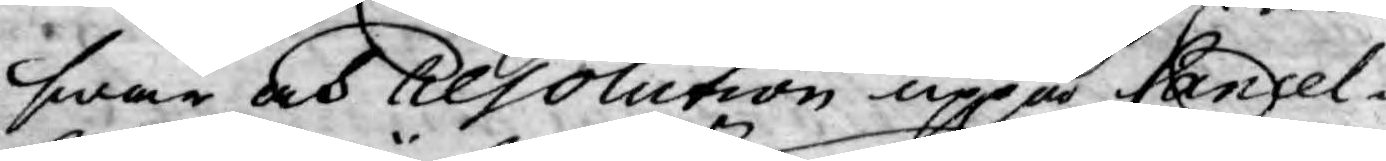swar och resolution uppå Cansel¬
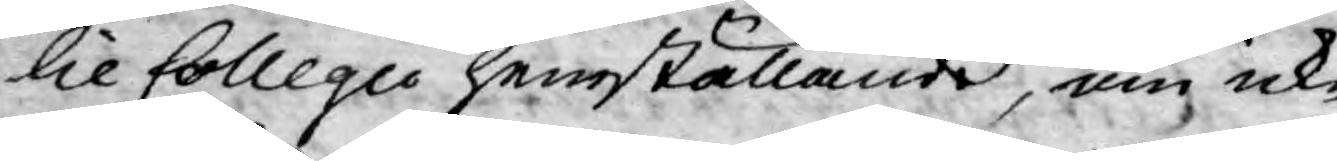lie Collegii hemställande, om icke
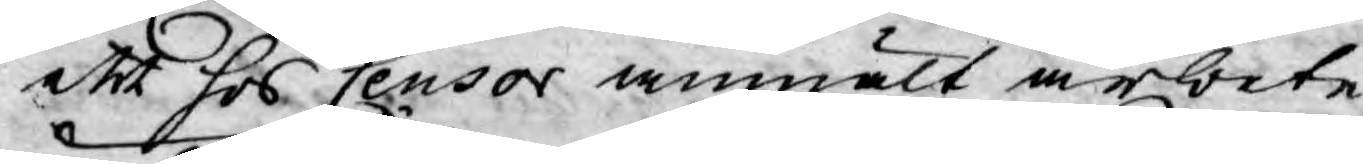att hos Censor anmält arbete
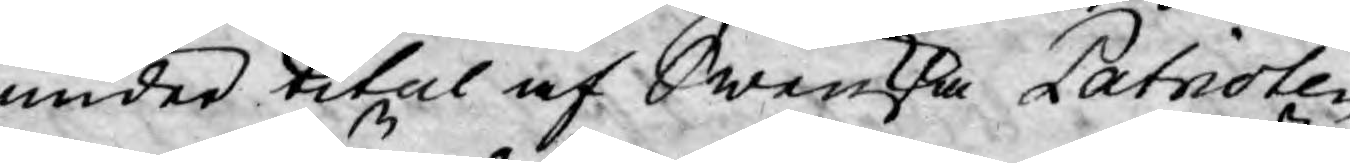under titul af Swenska Patrioten
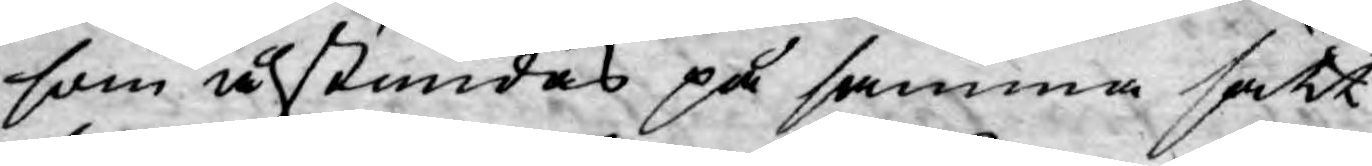som åstundas på samma sätt
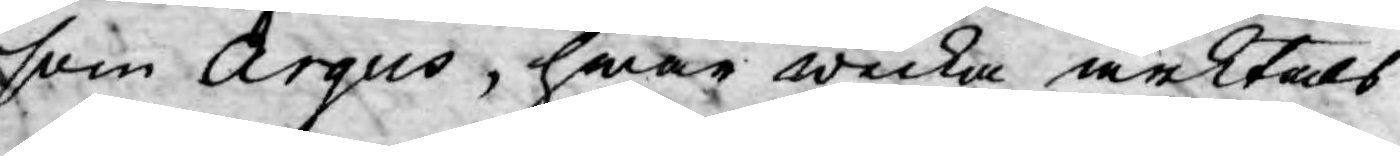som Argus, hwar wecka arktals
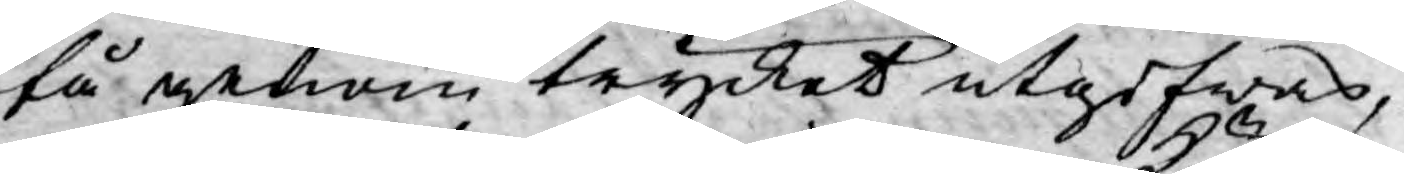få genom trycket utgifwas,
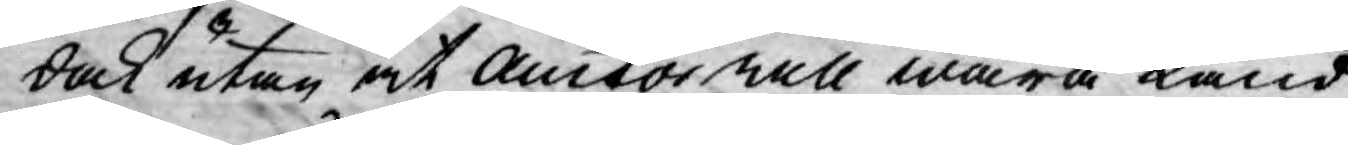dock utan at Auctor will wara känd,
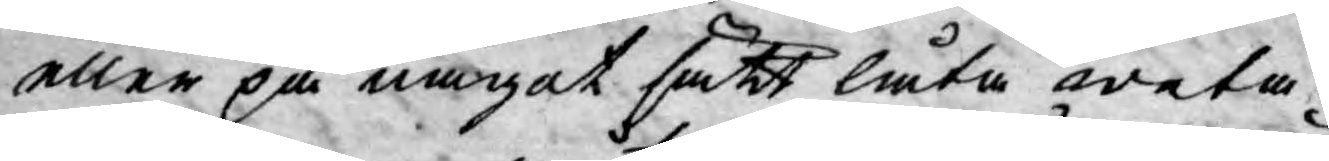eller på något sätt låta weta
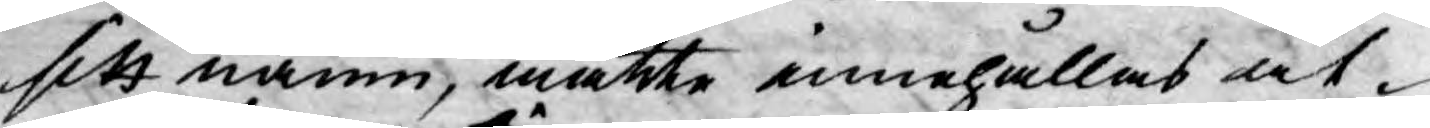sitt namn, måtte innehållas åt¬
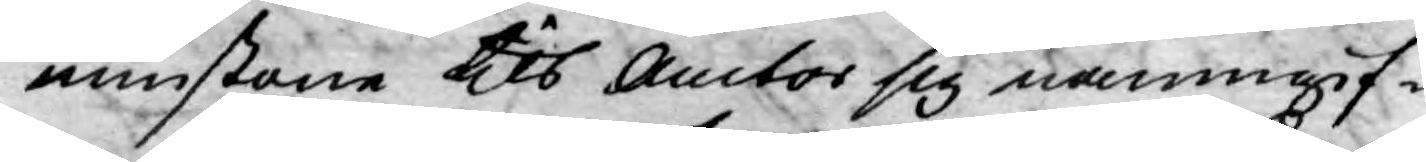minstone tils Auctor sig namngif¬
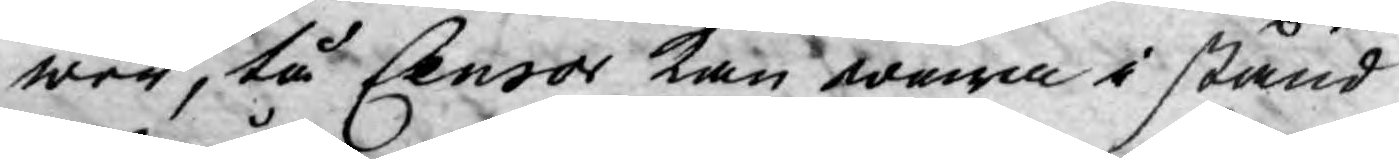wer, tå Censor kan wara i stånd
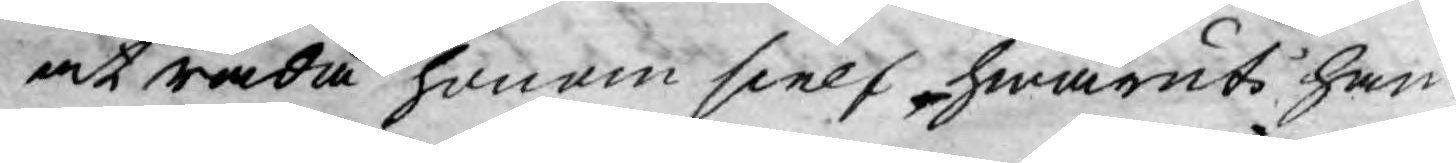at råda honom sielf, hwaruti han
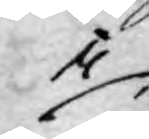i
